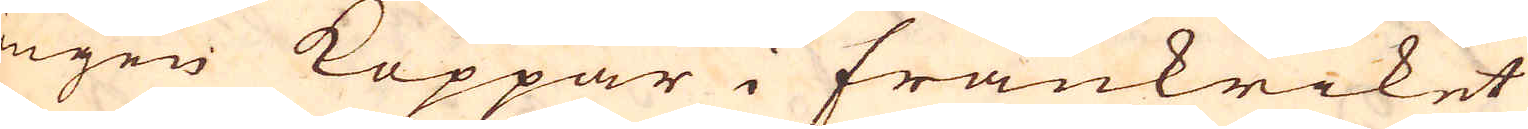ingen Koppar i Frankriket
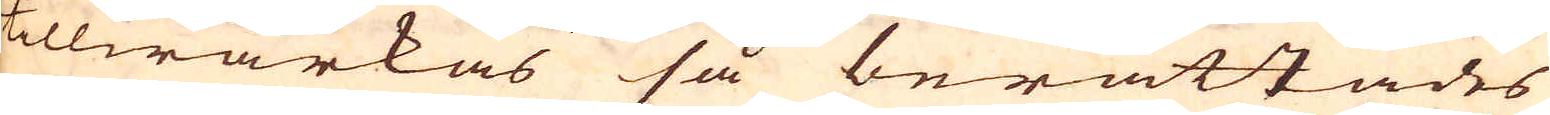tillwärkas så berättades
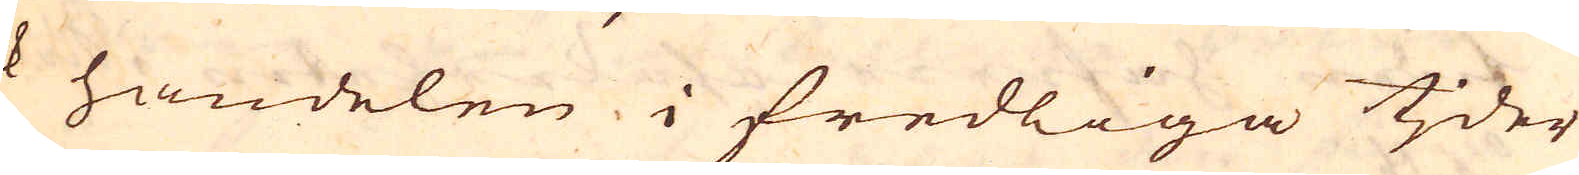ock handelen i fredliga tjder
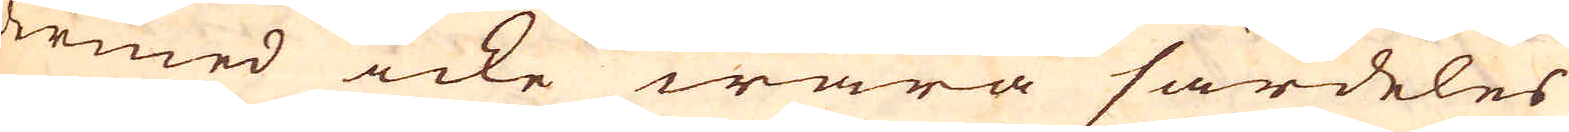dermed icke wara särdeles
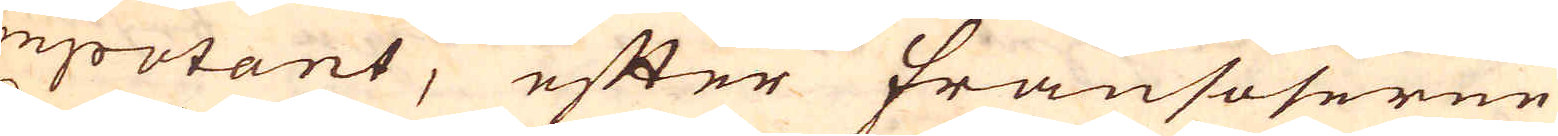impotant, efter Fransoserne
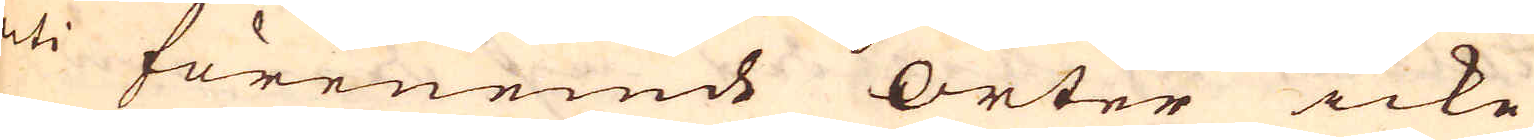uti förenemde orter icke
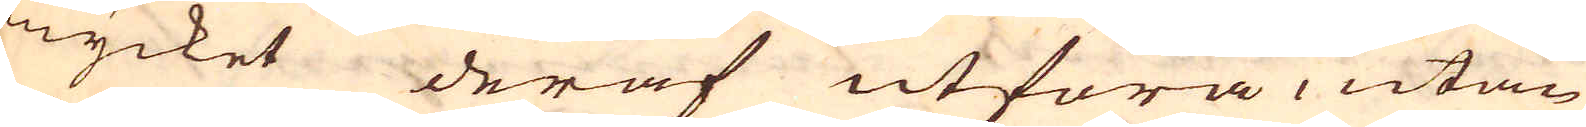mycket deraf utföra, utan
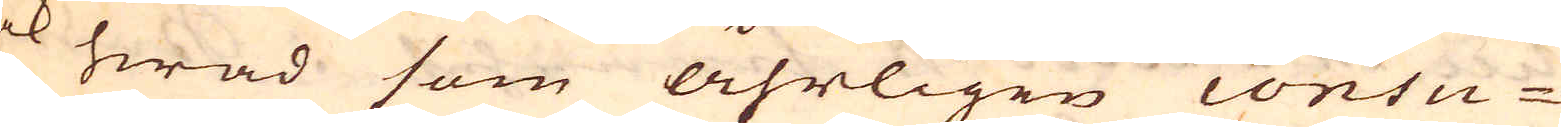ock som åhrligen consu-
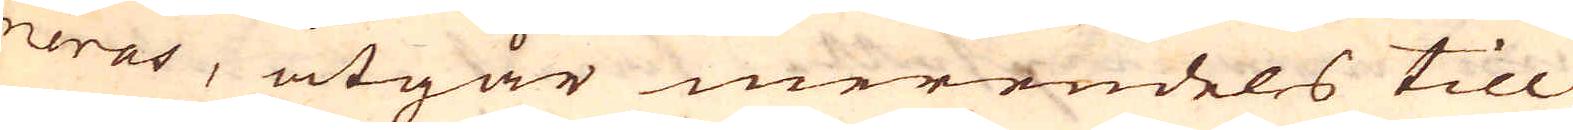meras, åtgår merendeles till
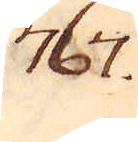767.
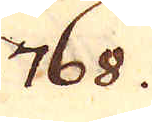768.
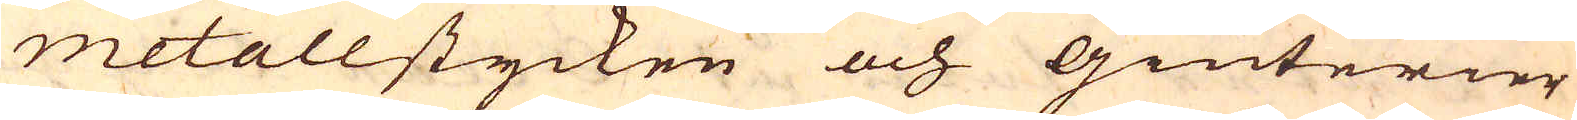metallstycken och Giuterier
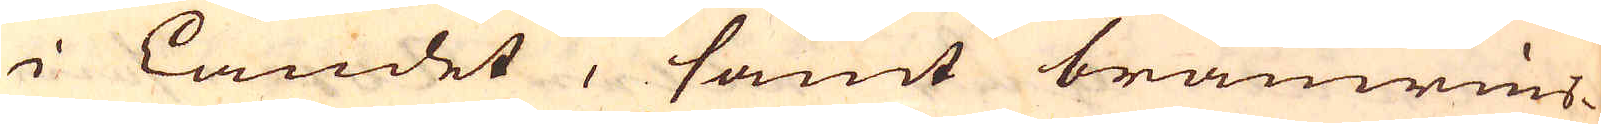i landet, samt bränwins-
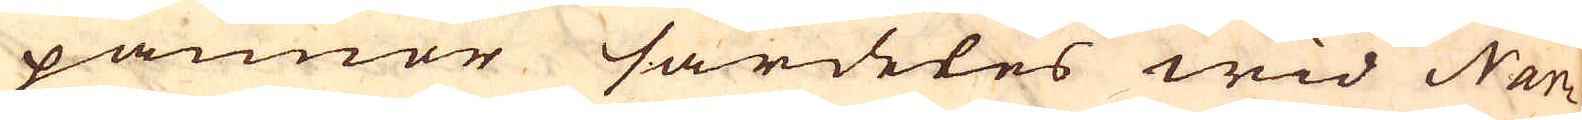pannor särdeles wid Nan-
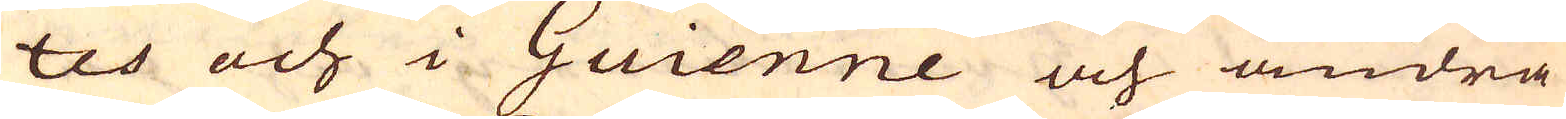tes och i Guienne och andra
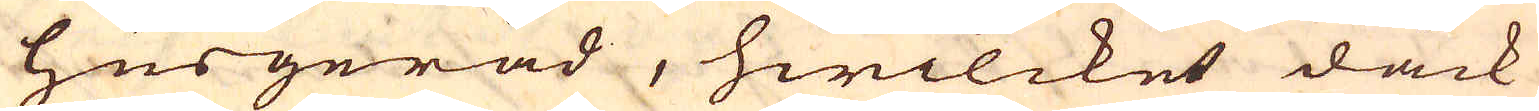Husgeråd, hwilcket dåck
